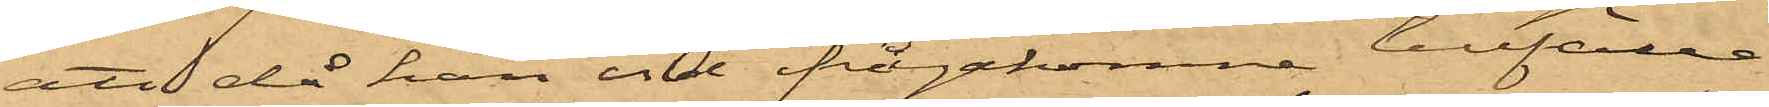att då han vid ifrågakomne tillfälle
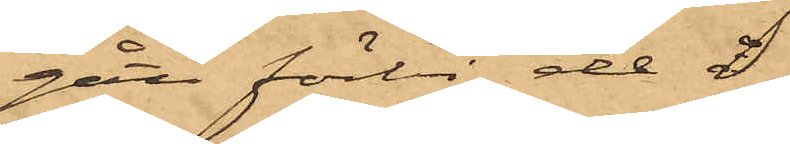gått förbi de å
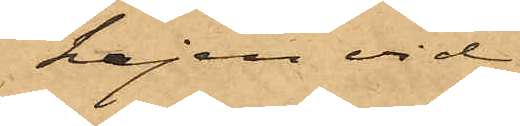kajen vid
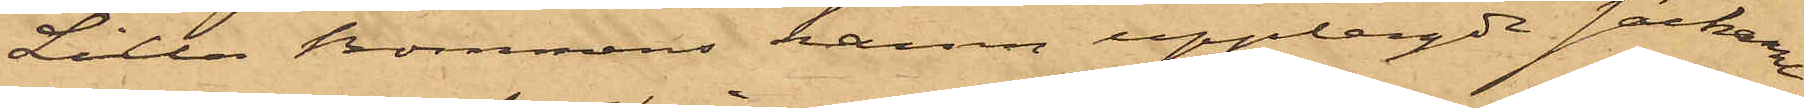Lilla Bommens hamn upplagda säckarna
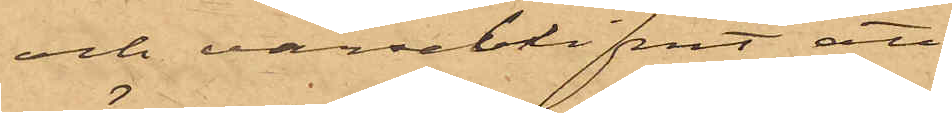och varseblifvit att
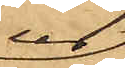ur
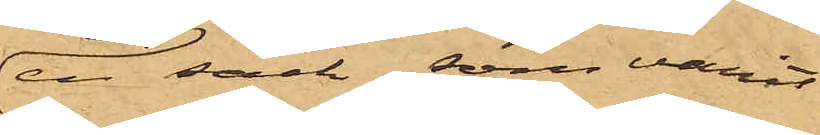en säck, som varit
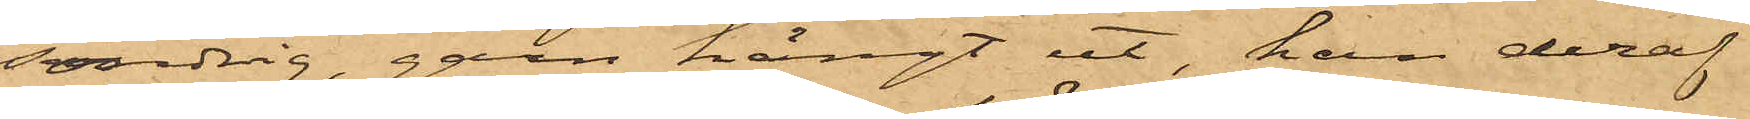söndrig, garn hängt ut, han deraf
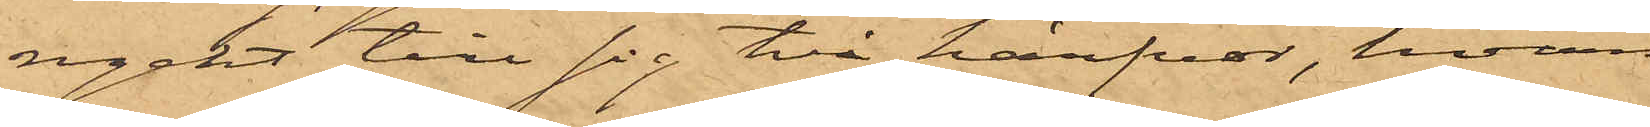ryckt till sig två härfvor, hvarmed
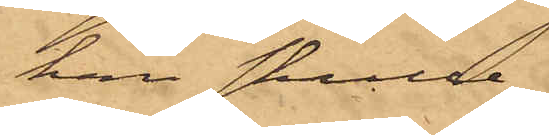han skulle
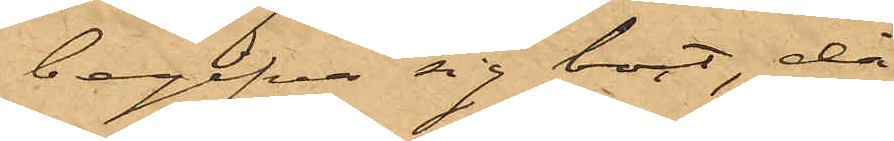begifva sig bort, då
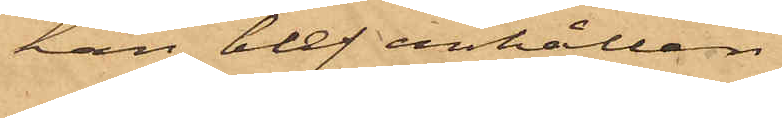han blef anhållen.
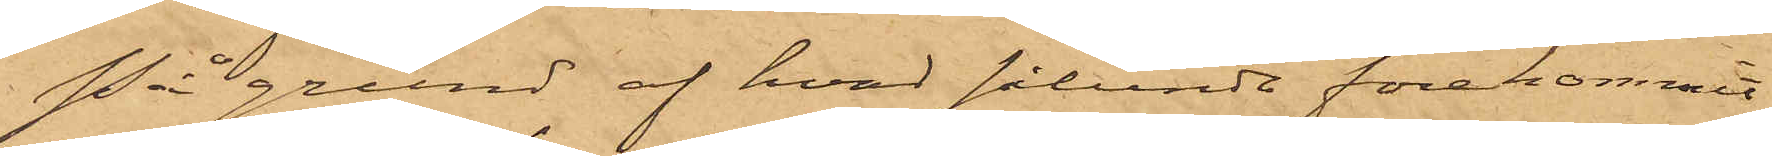På grund af hvad sålunda förekommit,
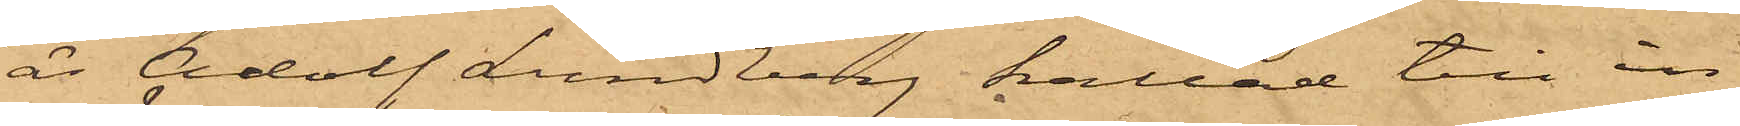är Adolf Lundberg kallad till in¬
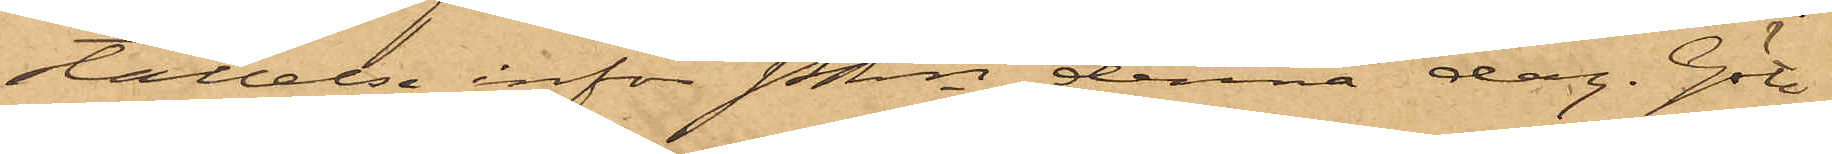ställelse inför Pkn denna dag. Göte¬
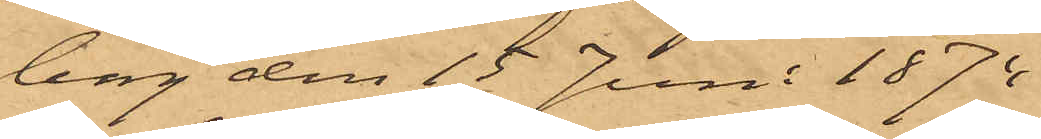borg den 15 Juni 1874.
